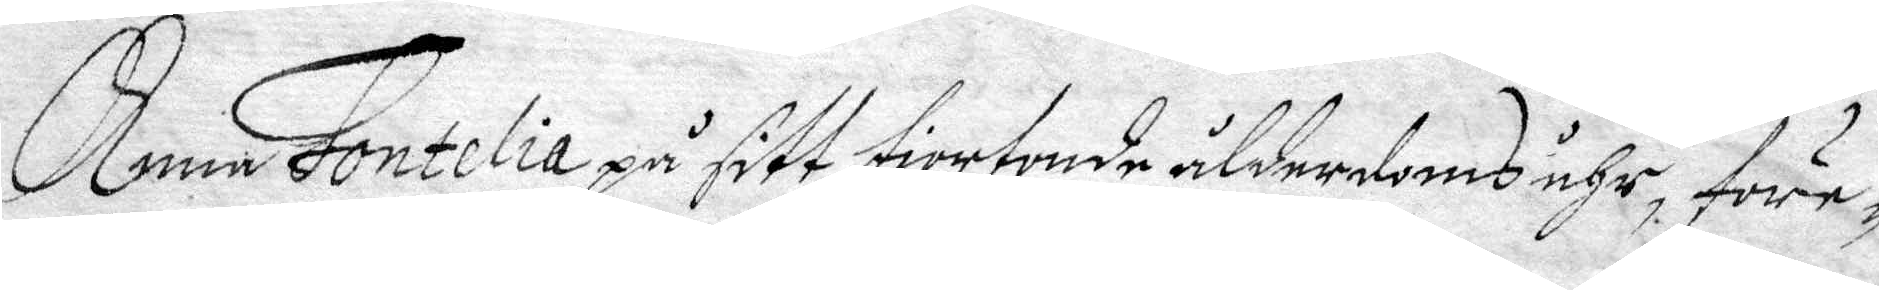Anna Fontelia på sitt fiortonde ålderdoms åhr, före¬
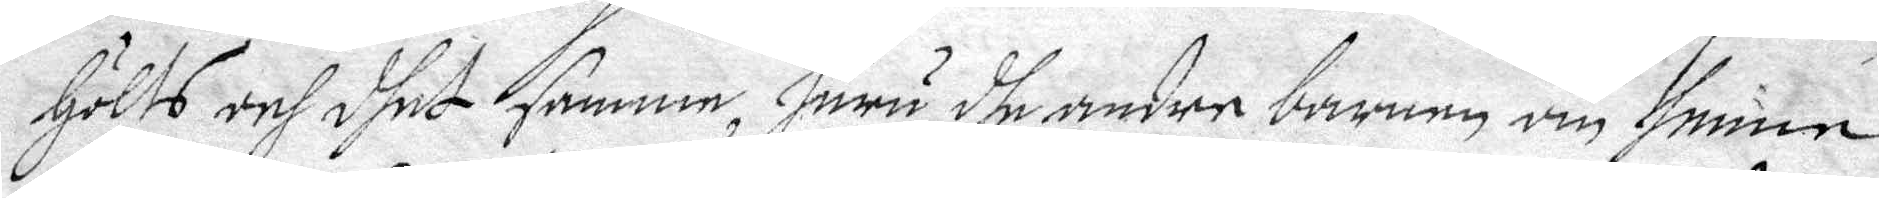hölts och dhet samme, huru dhe andre barnen om henne
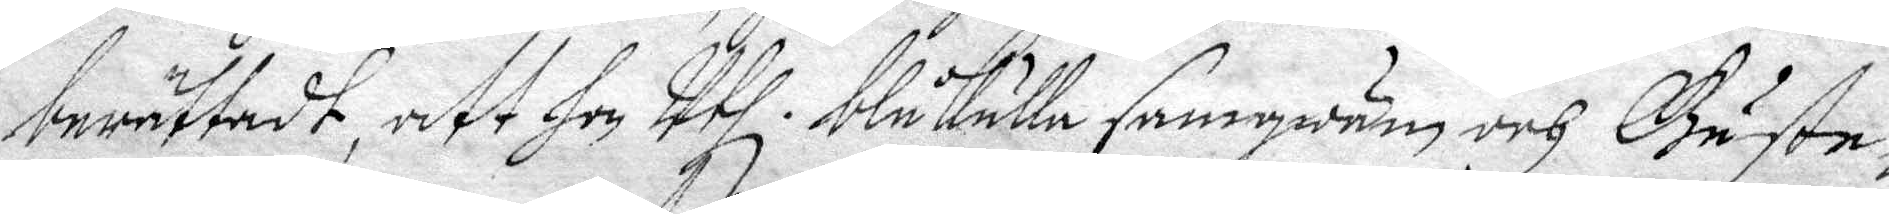berättadt, att hon Uthi i Båkulla samqwäm och Gäste¬
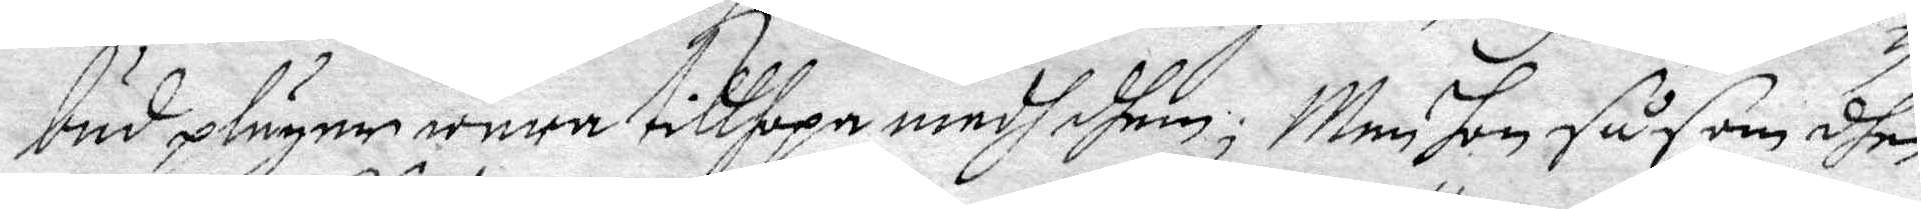bud pläger wara tillhopa medh dhem; Men hon såsom dhen
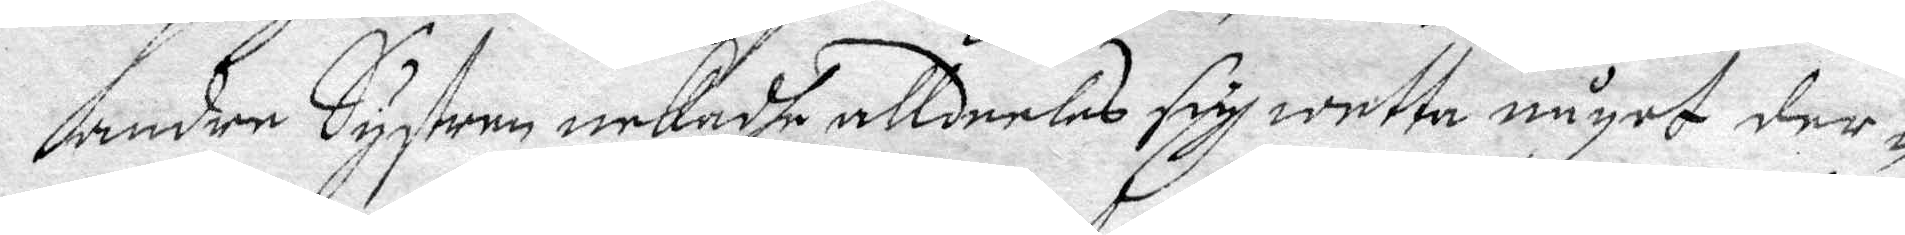andre Systern nekadhe alldeelas sigh wetta något der-
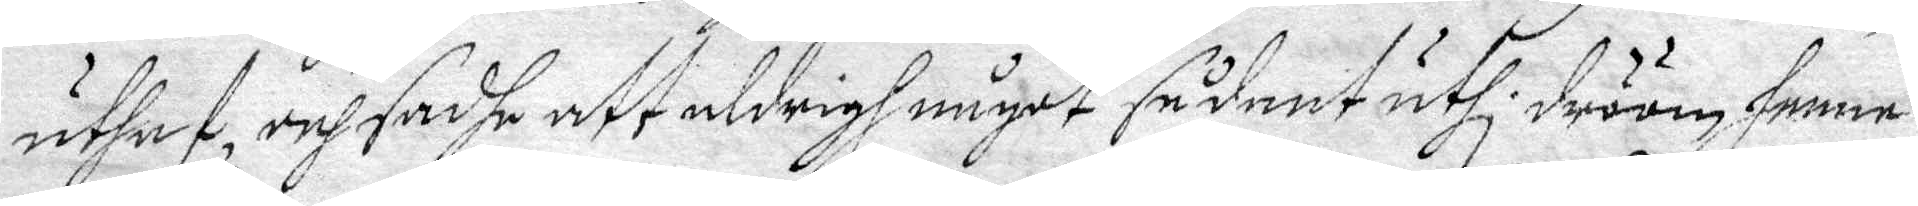uthaf och sadhe att aldrigh någat sådant uthi dröom henne
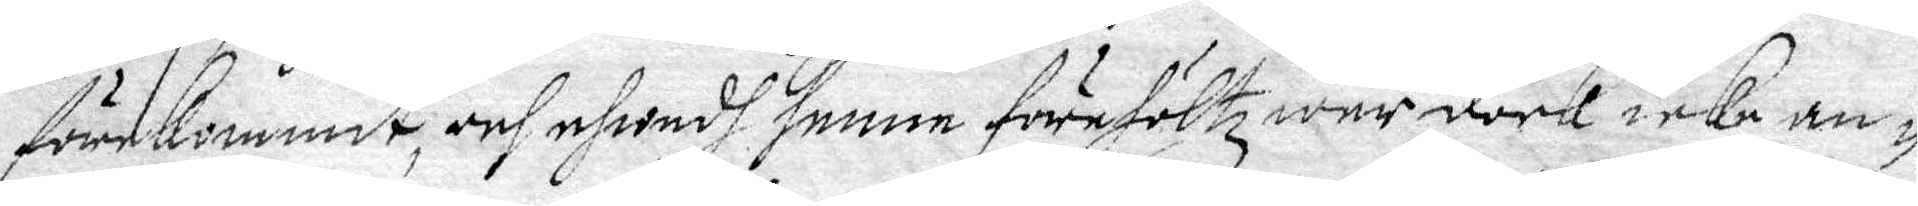förekommit, och ehwadh henne förehöltz war dock icke an-
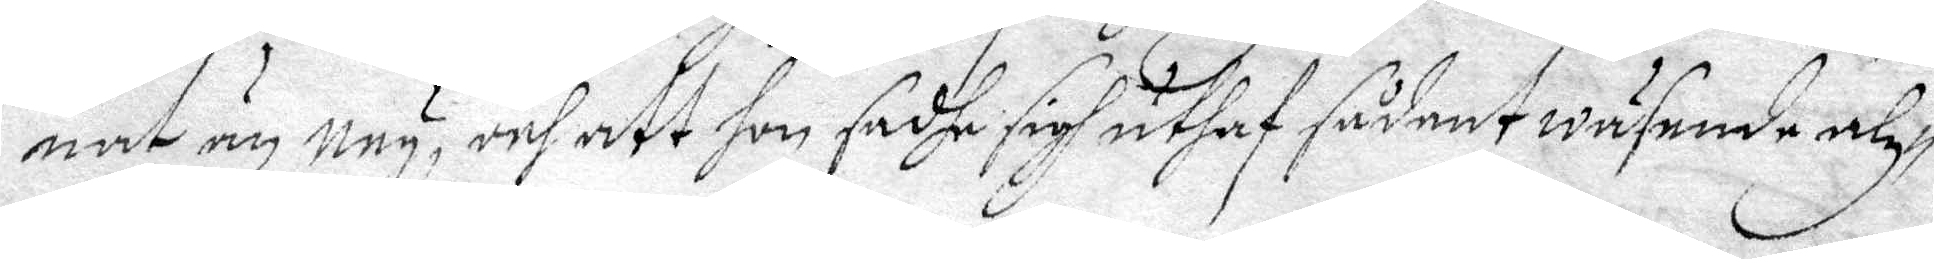nat än ney, och att hon sadhe sigh uthaf sådant wäsende alz¬ 
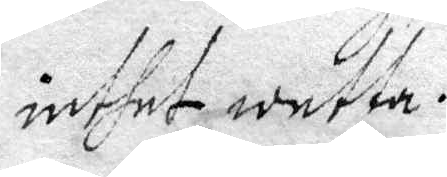inthet wetta.
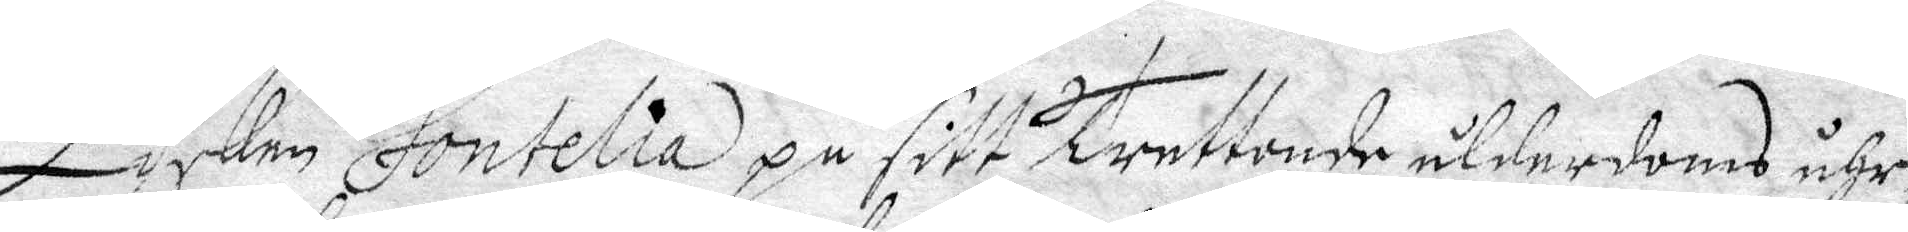Lisken Fontelia på sitt trettonde ålderdoms åhr
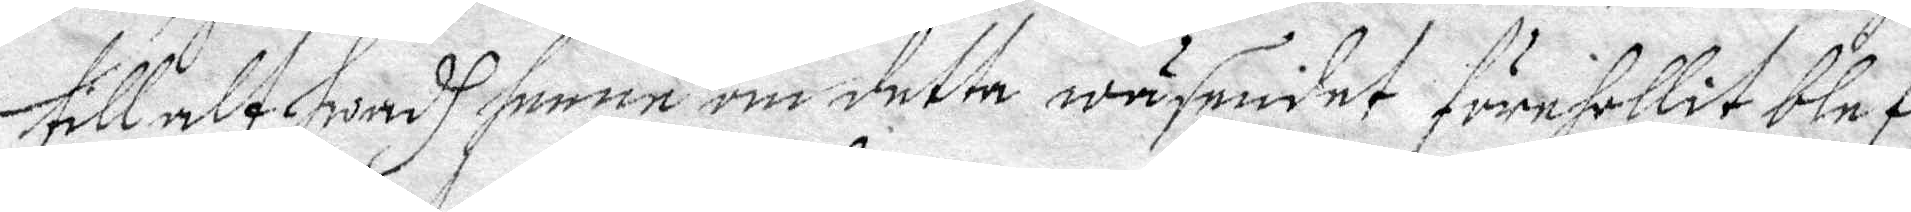till alt hwadh henne om detta wäsendet förehollit blef
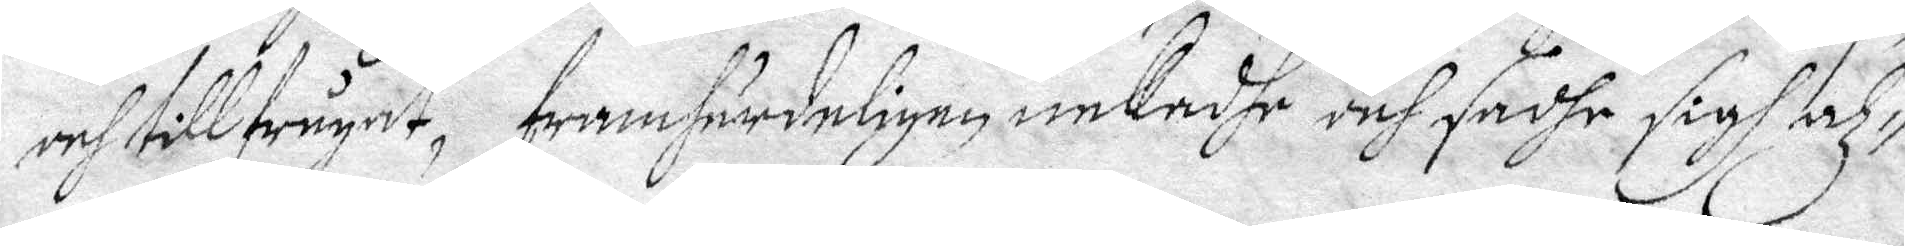och tillfrågat framhärdeligen nekadhe och sadhe sigh alz¬ 
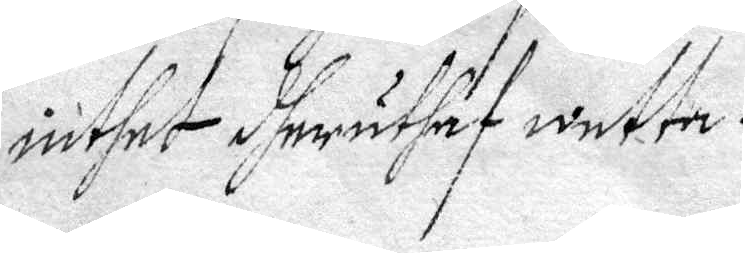inthet dheruthaf wetta.
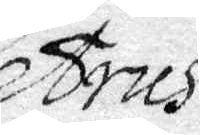Petrus
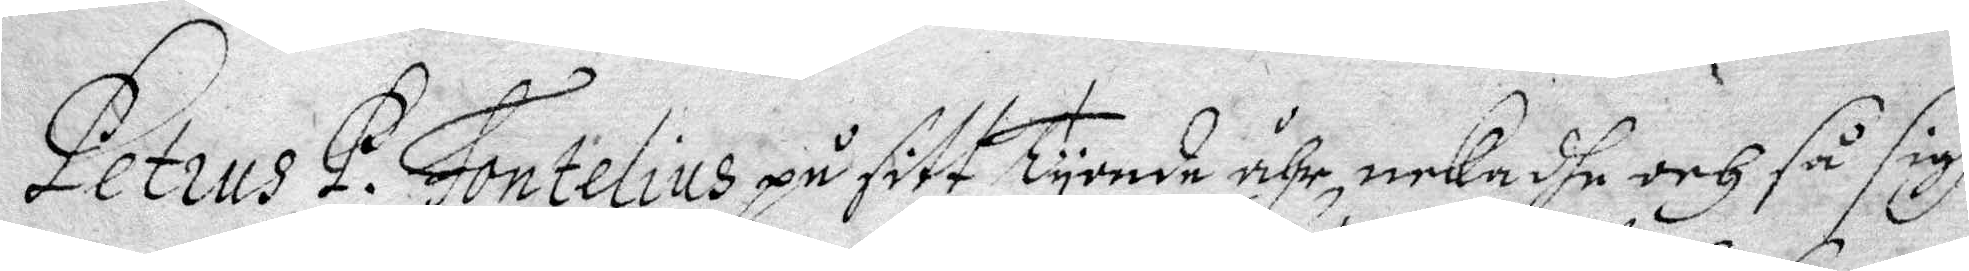Petrus P. Fontelius på sitt tyonde ähr, nekadhe och så sigh 
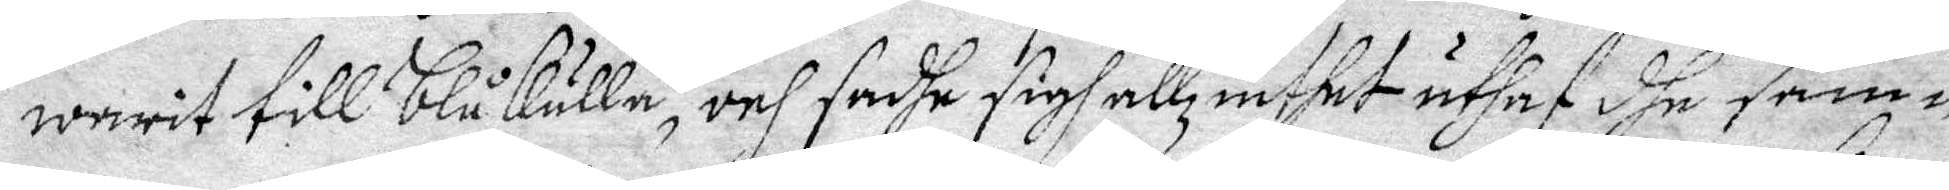warit till Blåkulla, och sadhe sigh allz inthet uthaf dhe sam¬
